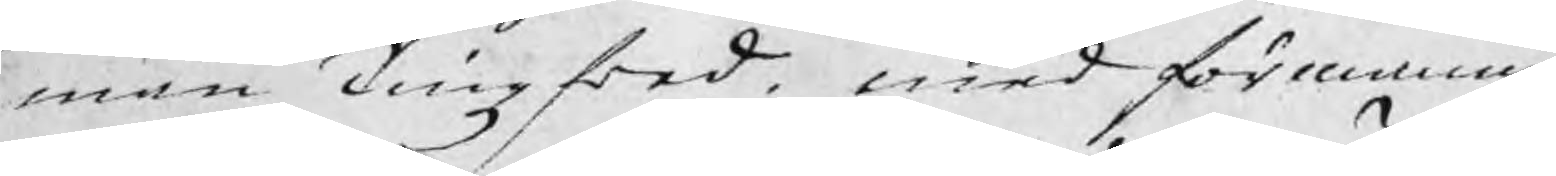män Tingzfred. med förmaning
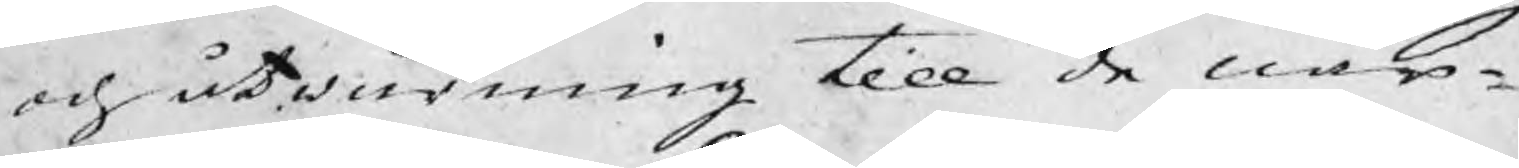och åtwarning till de när¬
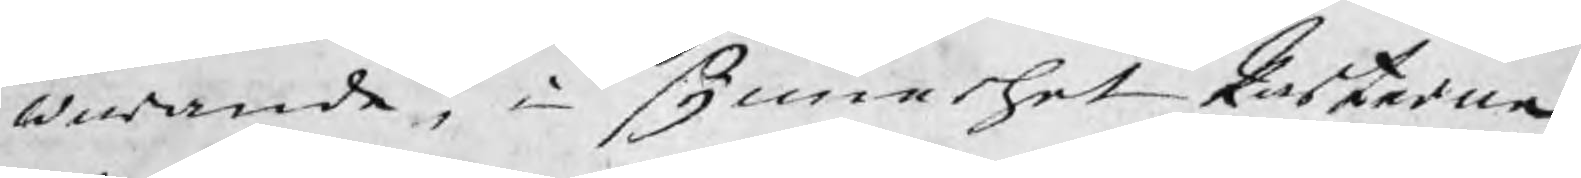warande, i synnerhet Kuskarna,
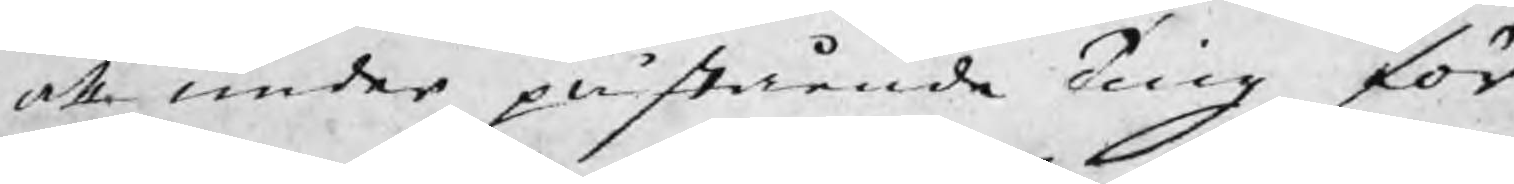att under påstående Ting för¬
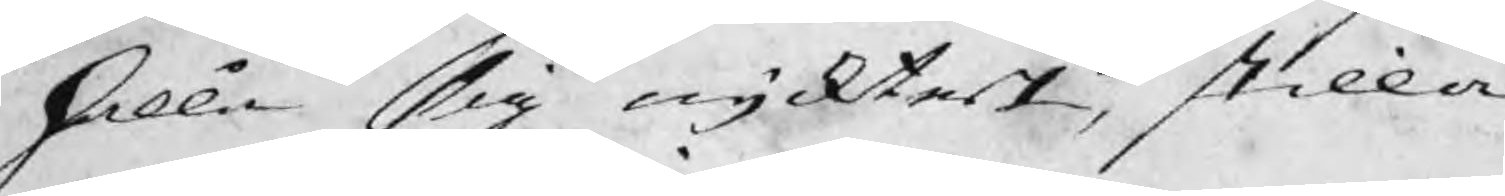hålla sig nycktert, stilla
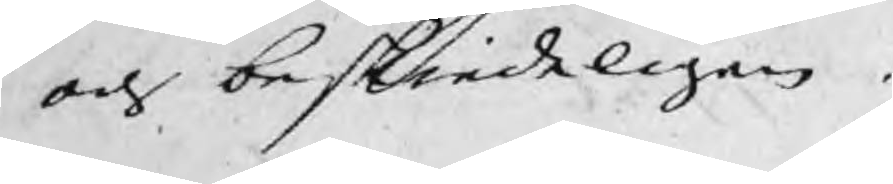och beskiedeligen.
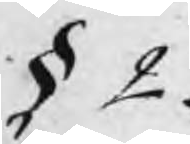§ 2.
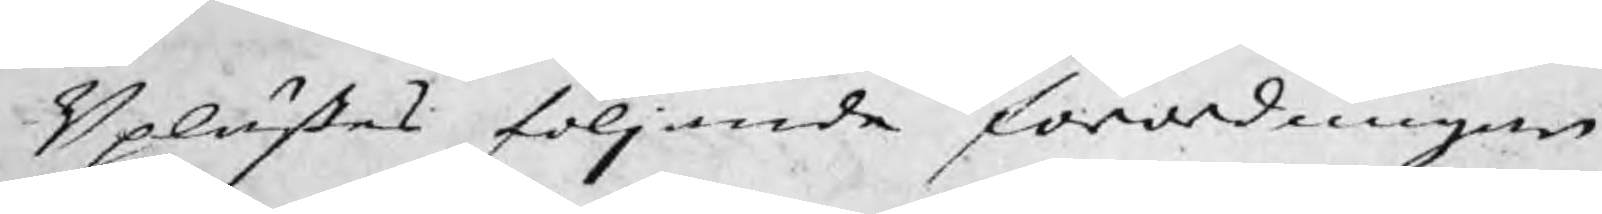Uplästes följande forordningar
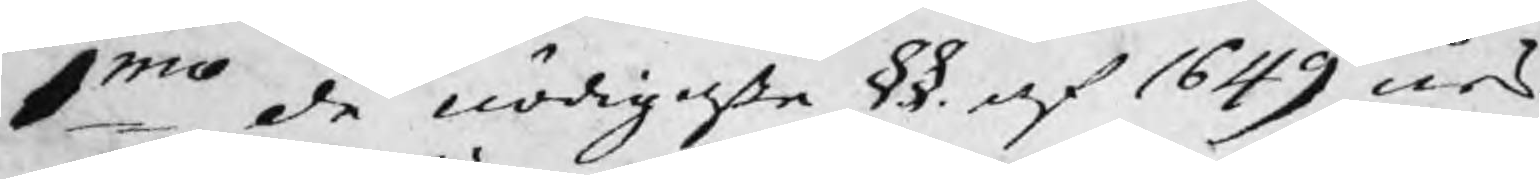1mo de nödigesta §§. af 1649 års
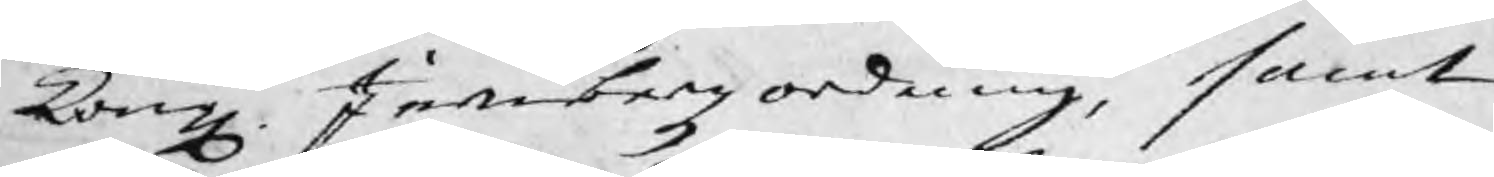Kongl. Jernbergz ordning, samt
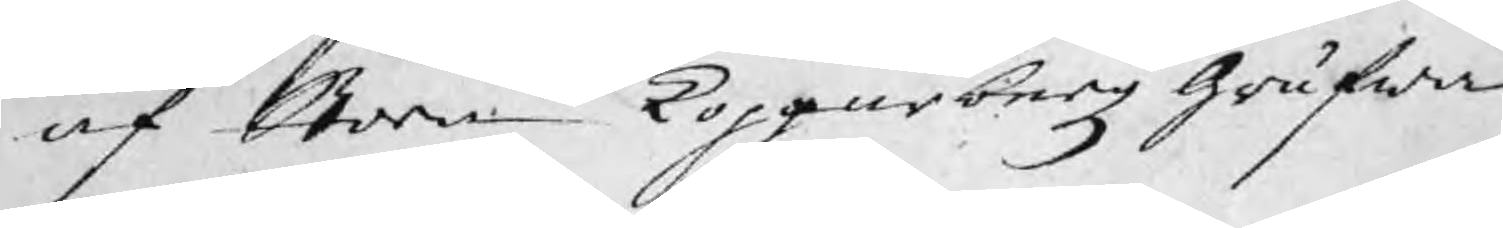af Stora Kopparbergz Grufwe
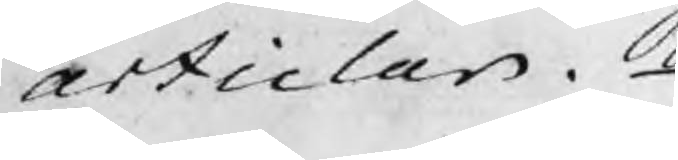articlar.
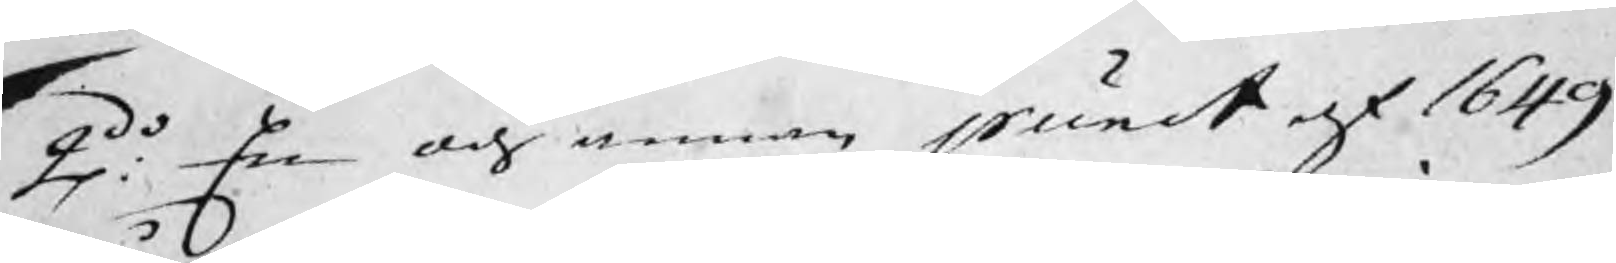2do: En och annan punct af 1649
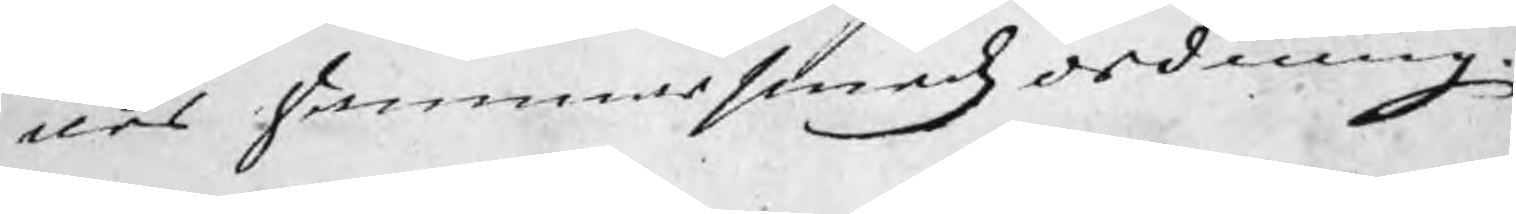års hammarsmedzordning.
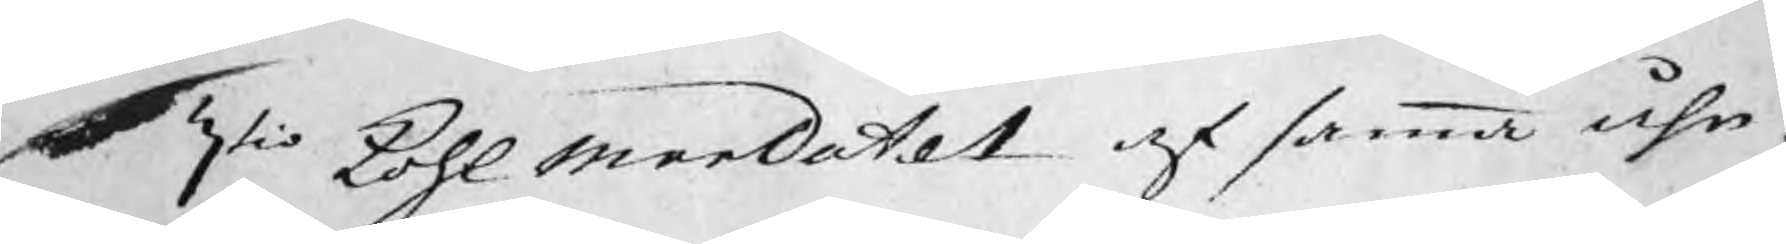3tio Kohl merdatet af samma åhr
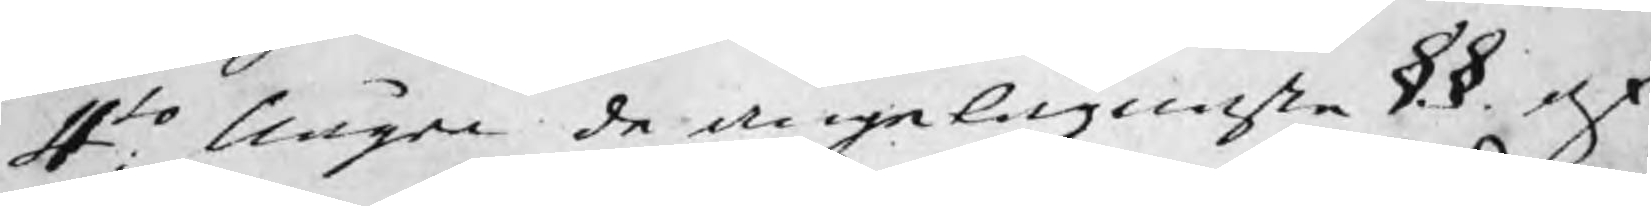4to: Några de angelägnaste §.§. af
